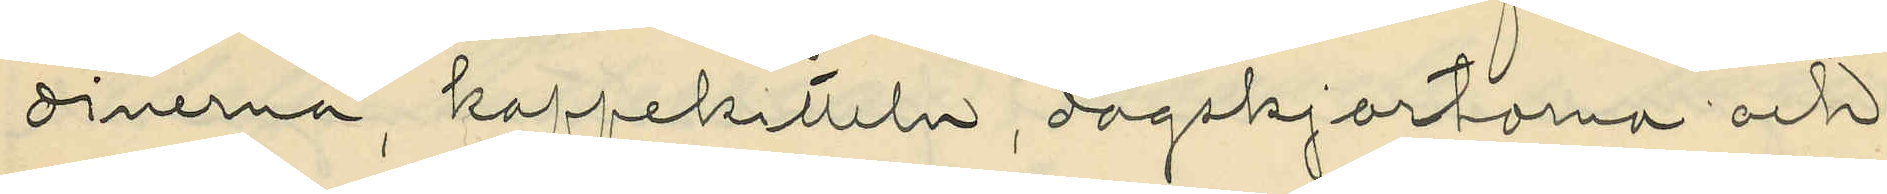dinerna, kaffekitteln, dagskjortorna och
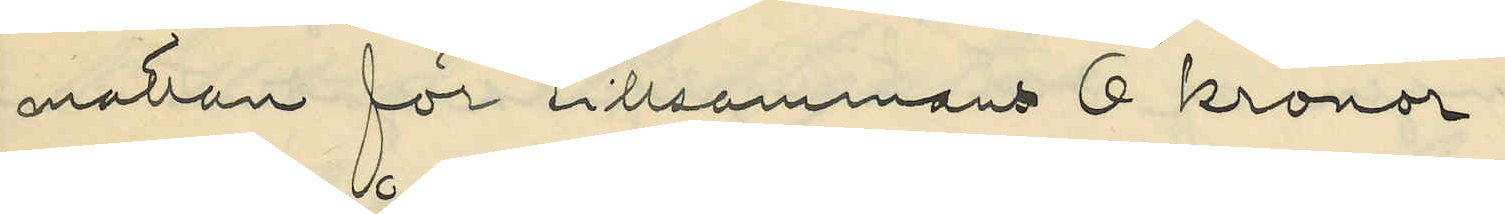mattan för tillsammans 6 kronor;
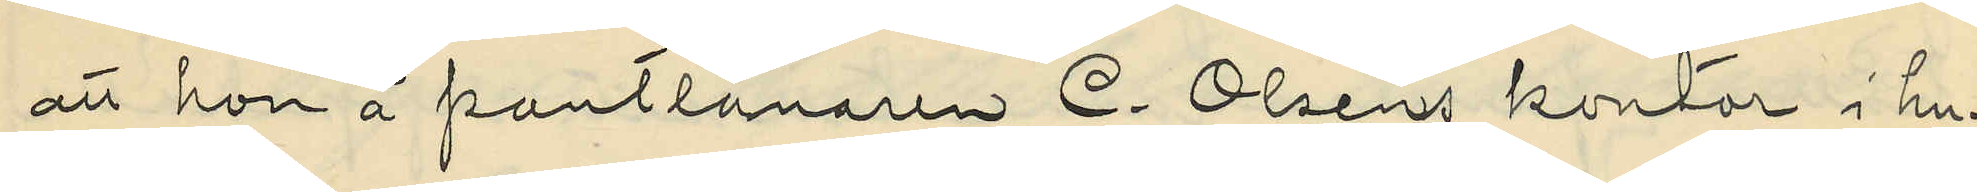att hon å pantlånaren C. Olsens kontor i hu¬
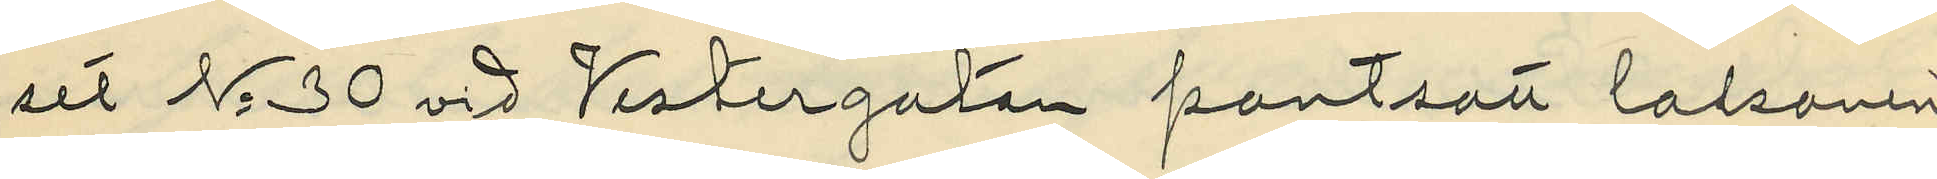set No 30 vid Vestergatan pantsatt lalsonen
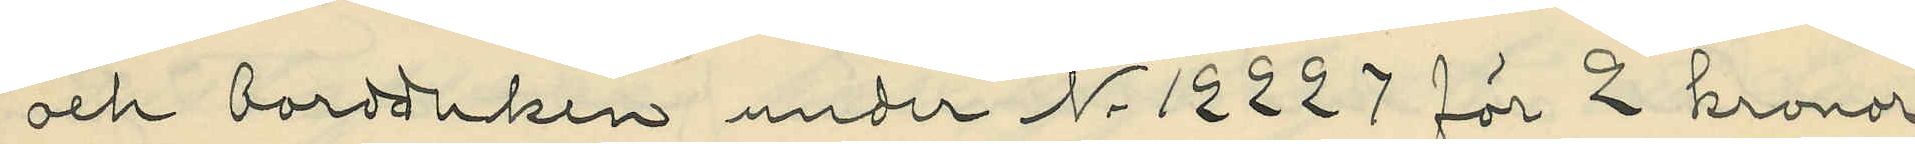och bordduken under Nr 12227 för 2 kronor;
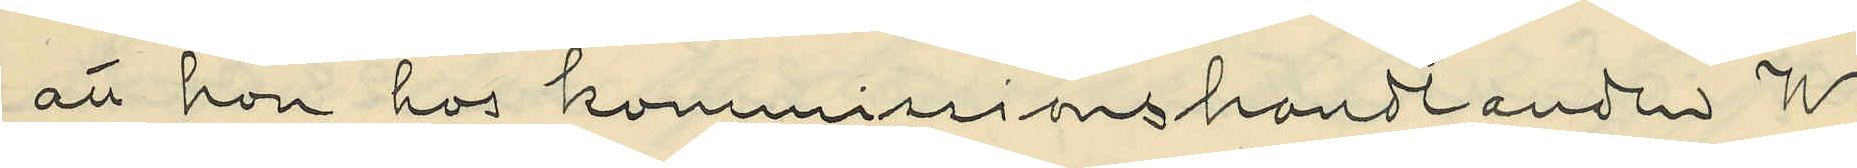att hon hos kommissionshandlanden W.
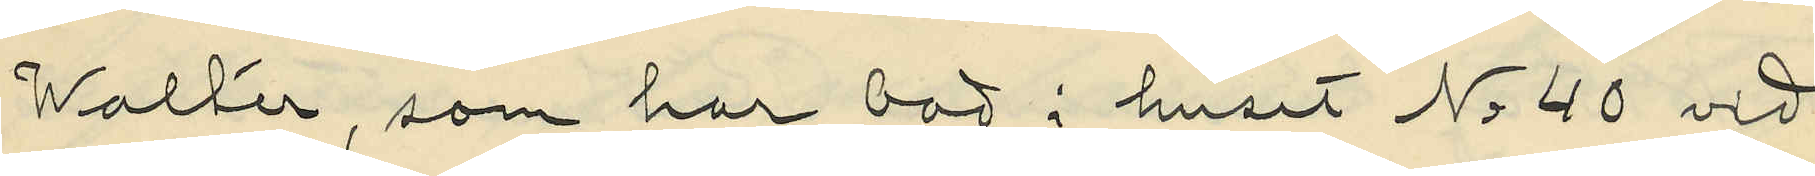Walter, som har bod i huset No 40 vid
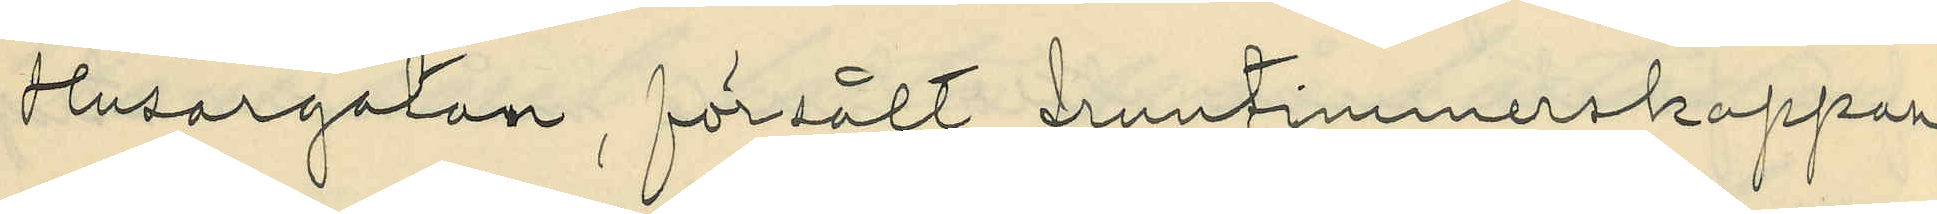Husargatan, försålt fruntimmerskappan
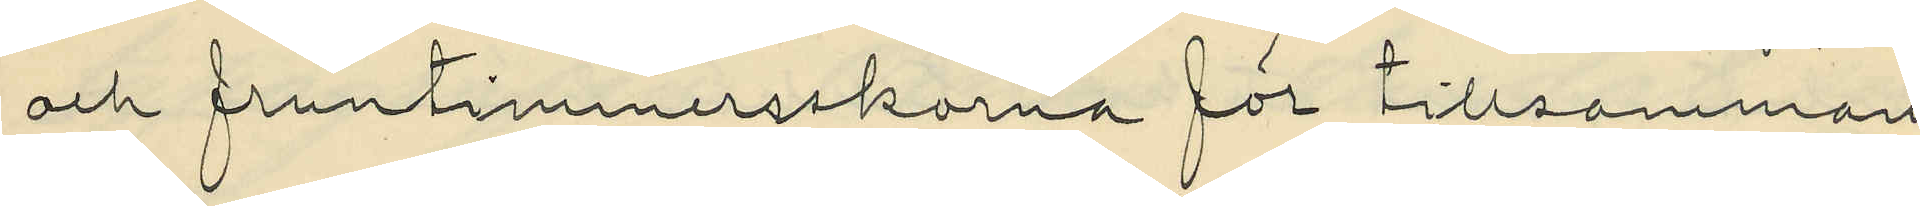och fruntimmersskorna för tillsammans
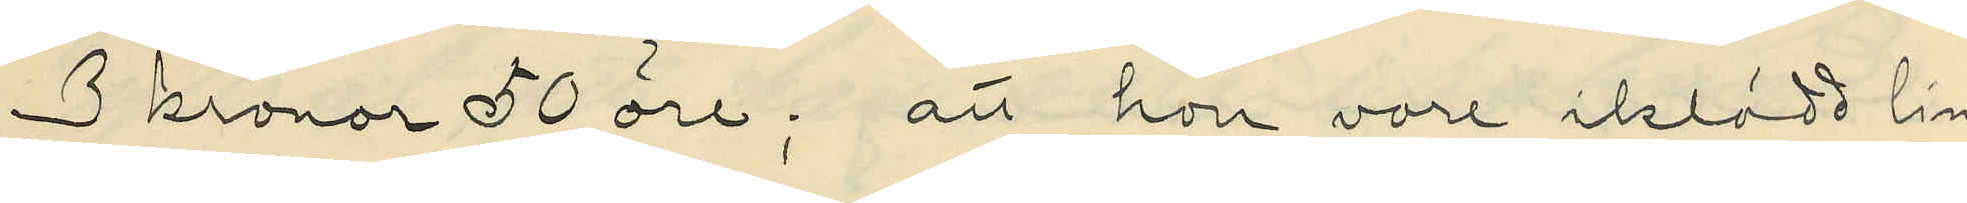3 kronor 50 öre; att hon vore iklädd lin¬
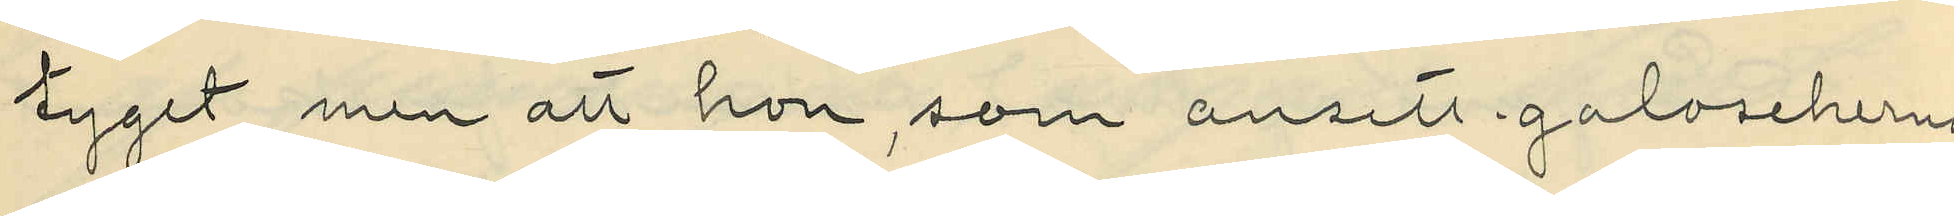tyget men att hon, som ansett galoscherna
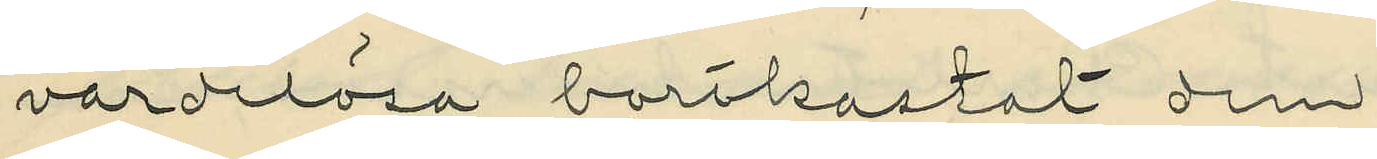värdelösa, bortkastat dem;
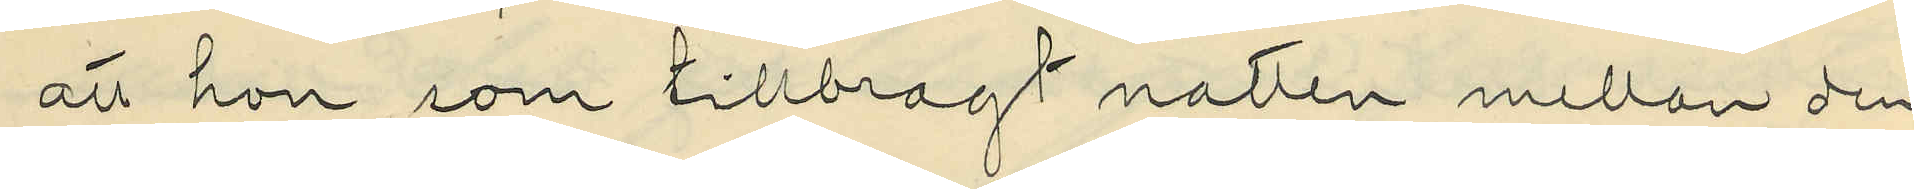att hon, som tillbragt natten mellan den
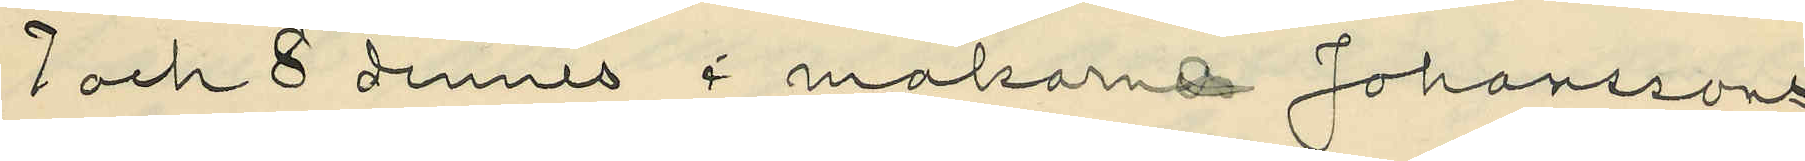7 och 8 dennes i makarne Johanssons
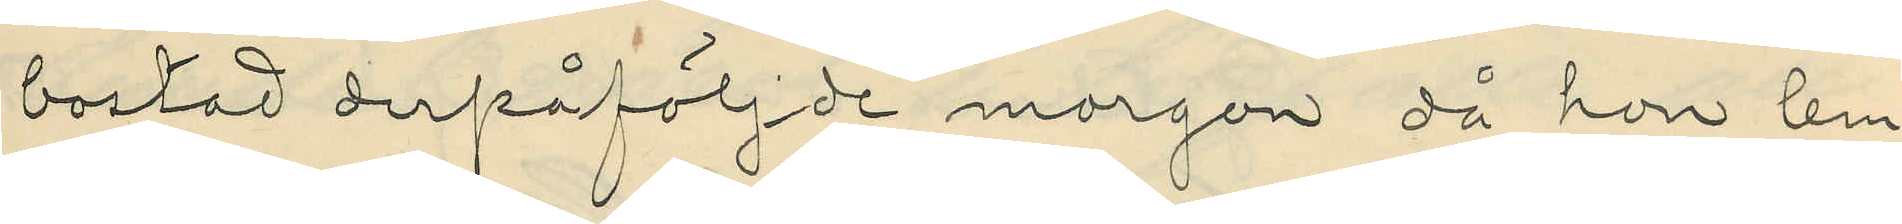bostad derpåföljde morgon då hon lem¬
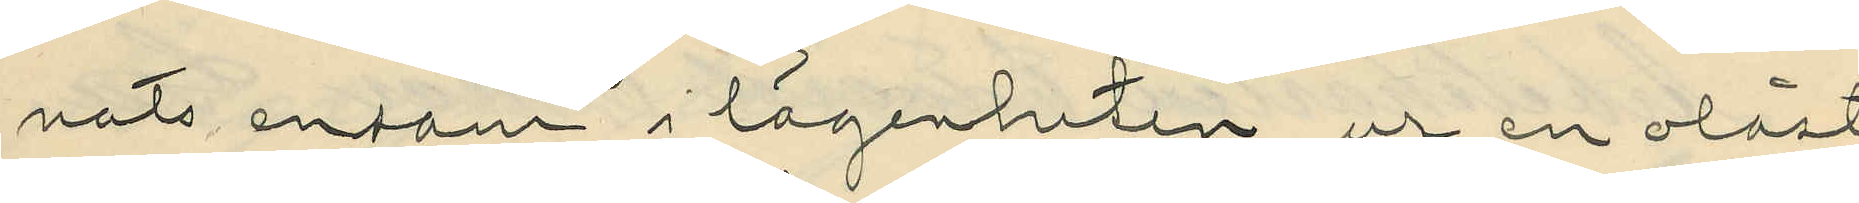nats ensam i lägenheten, ur en olåst
